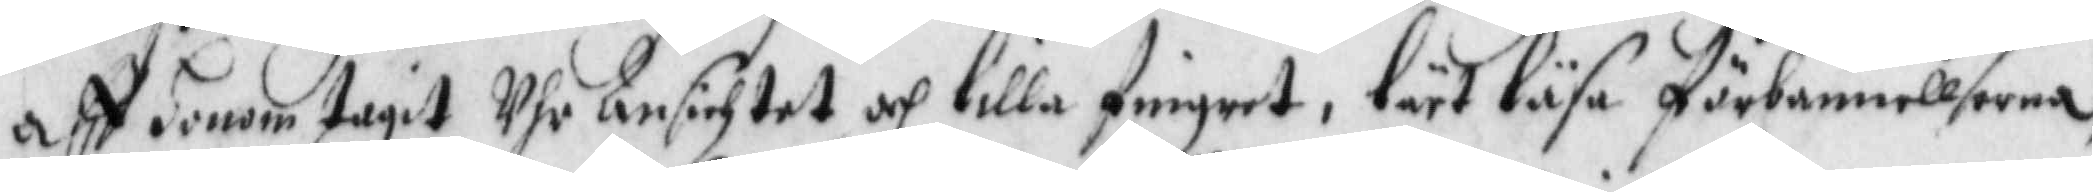aff Honom tagit Uhr Ansichtet och lilla fingret, lärt läsa förbannellsenrna,
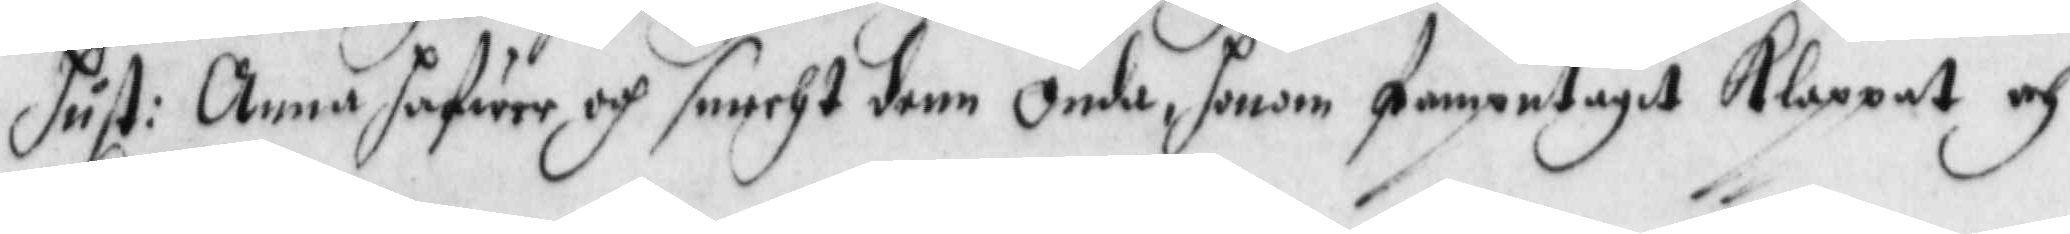Hust: Anna hafwer och smecht denn onde, honom fampetagit Klappat och
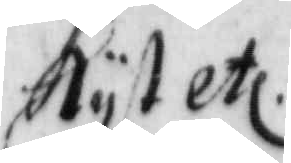Kyst etc.
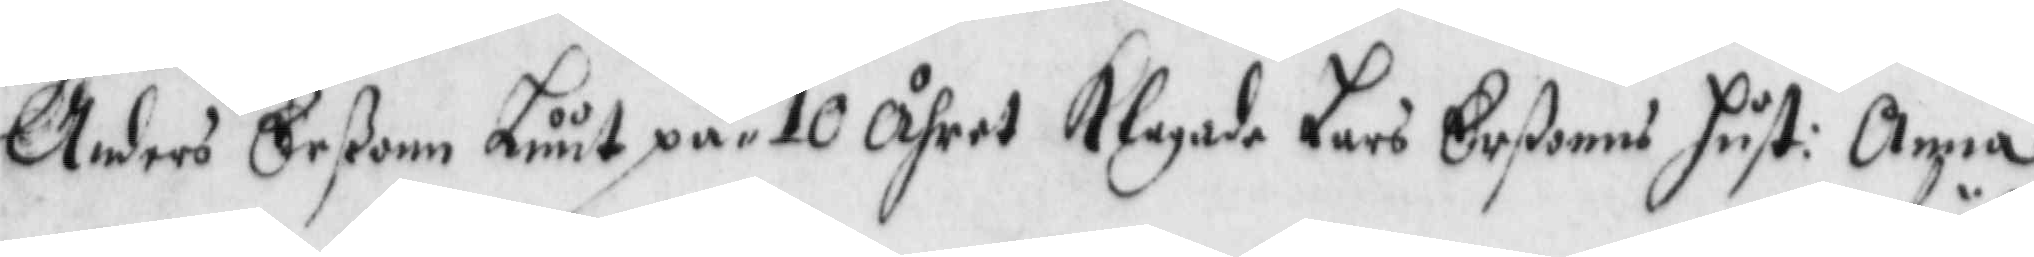Anders Erßonn Luut på 10 Åhret Klagade Lars Erßonns hust: Anna
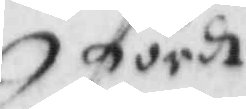fördt
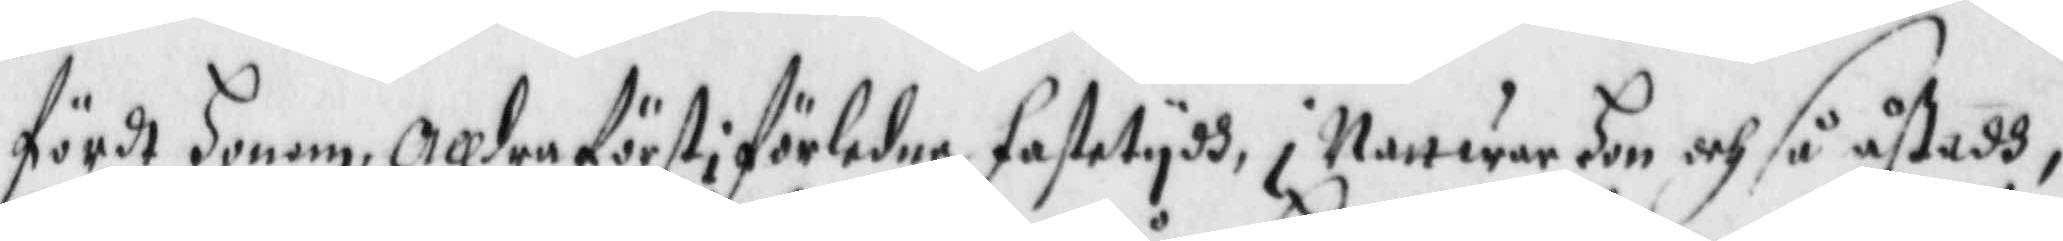fördt honom, Alldra först i förledne fastetydh i Natt war hon och så astadd,
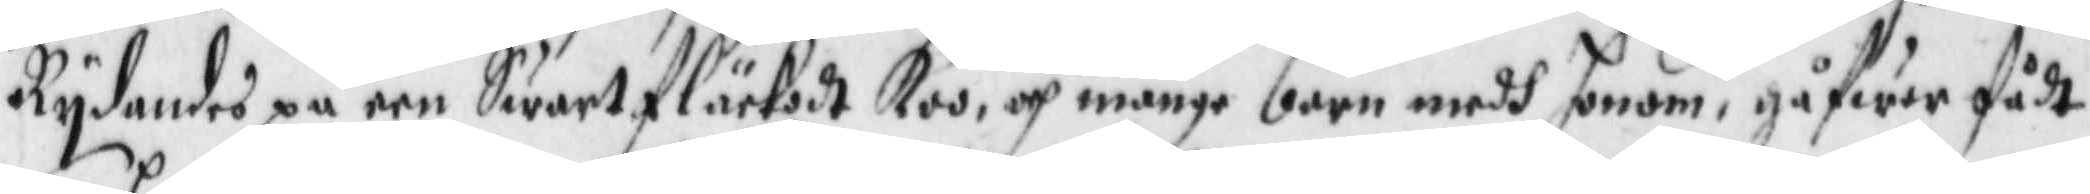Rydandes een Swart fläckadt Koo, och månge barn medh honom, gåfwer fådt
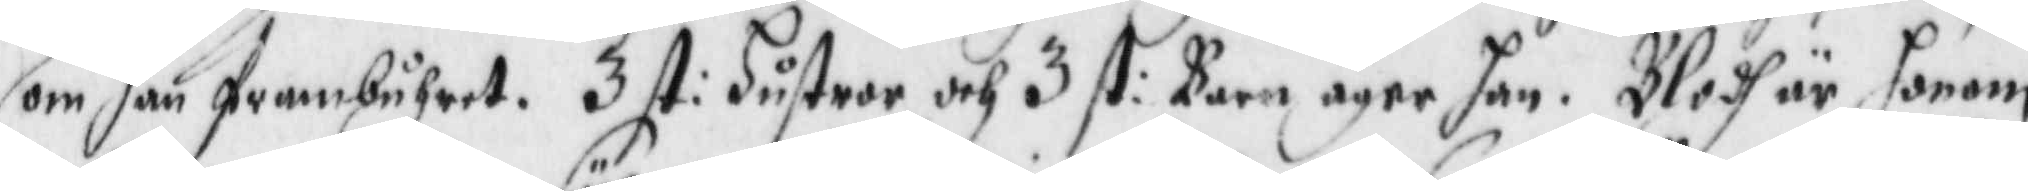som han frambuhret. 3 st: hustror och 3 st: Barn äger han. Blodh r honom
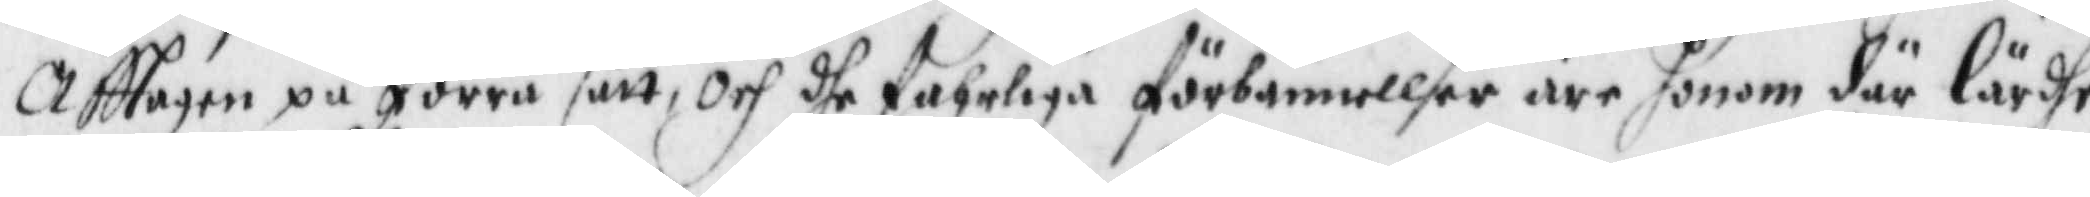Afftagen på förra sätt, och dhe fahrliga förbannelser äre honom där lärdhe,
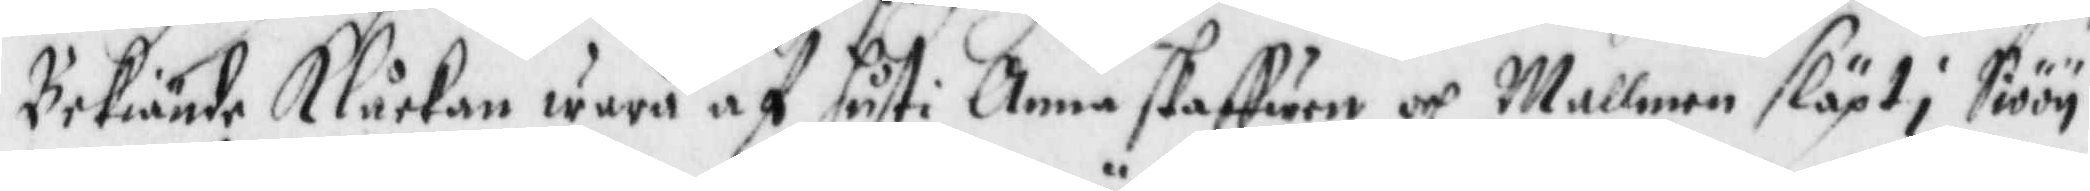Bekiände Klåckan wara af hust: Anna skaffwen och Malmen släpt i Siöön
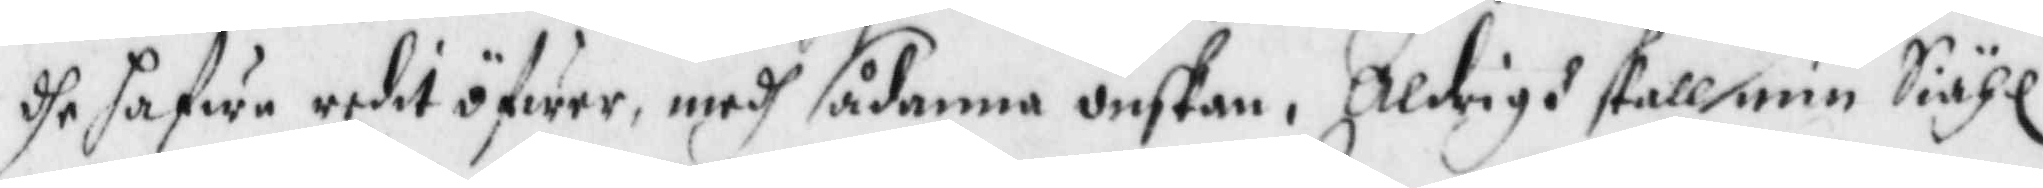dhe hafwa redit öfwer, medh sådanna önskan, Aldrigh skall min Siähl
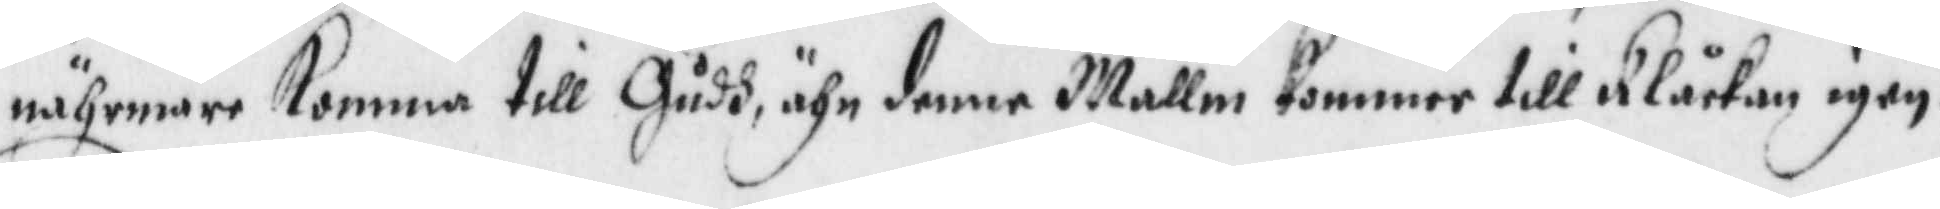nähramre Komma yill Gudh ähn denne Mallm Kommer till Klåckan igen.
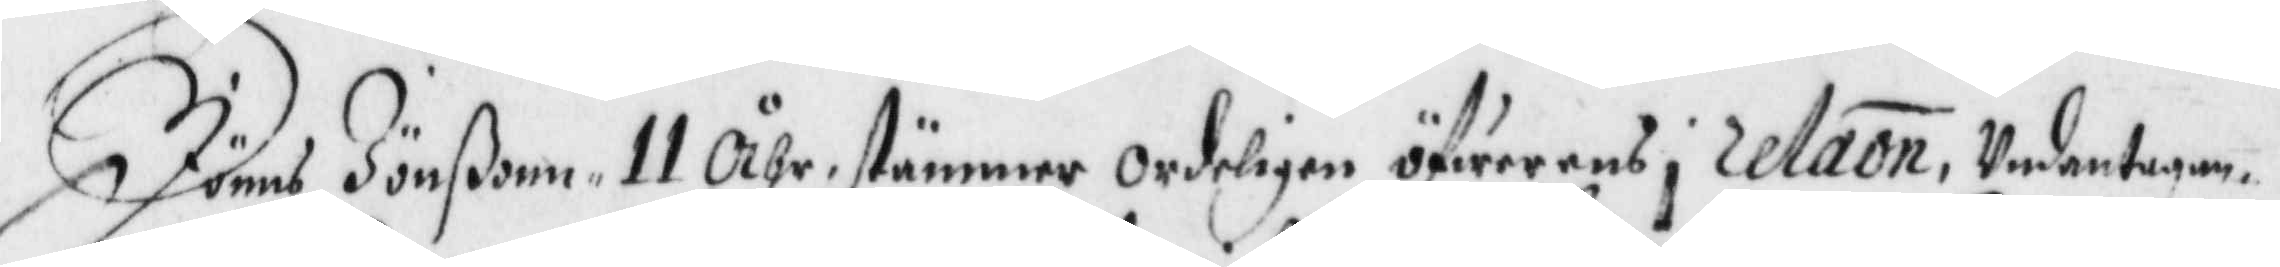Jönns Jönßonn 11 Åhr stämmer ordeligen öfwerens i relation, Undantagan¬
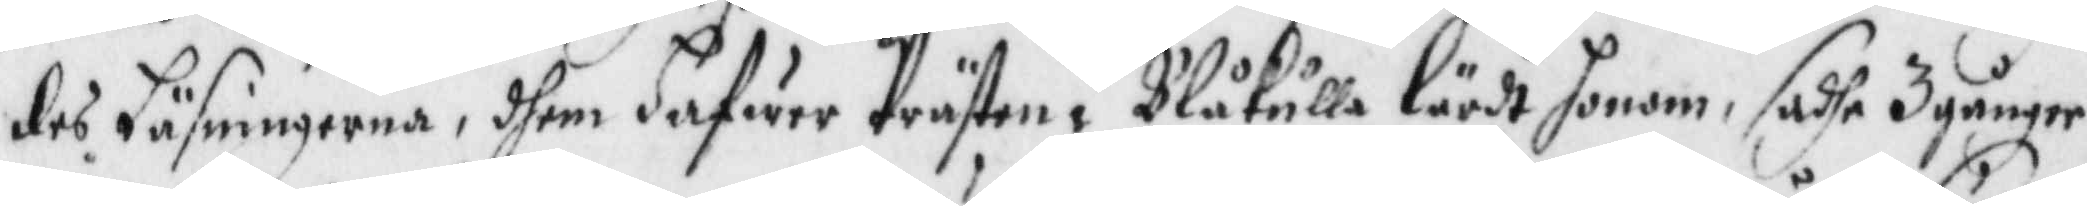des Läsningerne, dhem hafwer Prästen i Blåkulla lärdt honom, sadhe 3 gånger
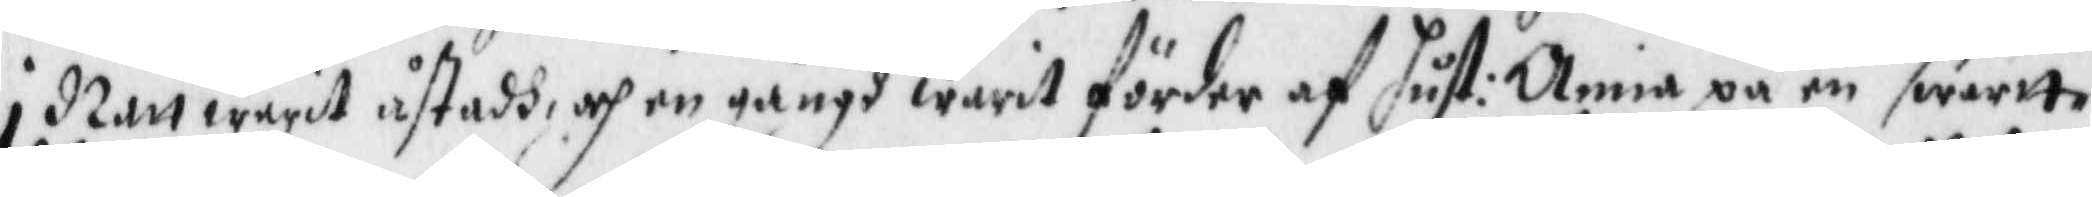i Natt warit åstadh, och en gångh warit förder af hust: Anna på en swartt
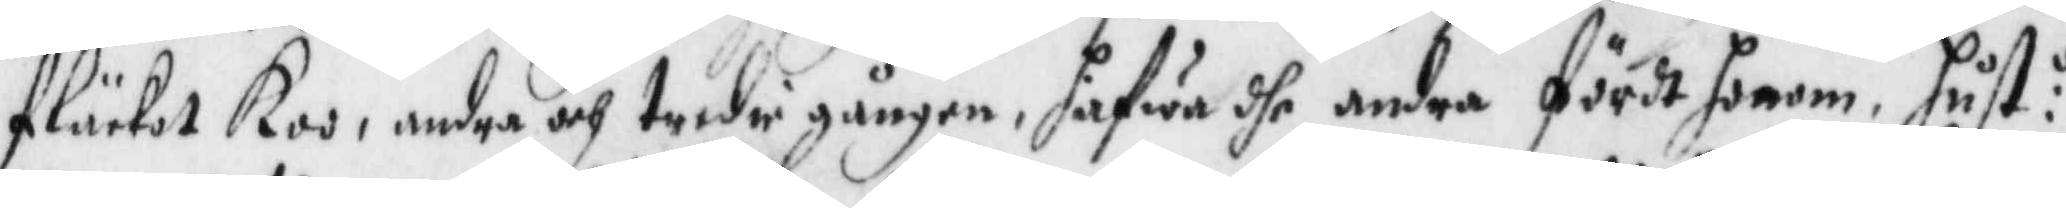fläcket Koo, andra och tredie gången, hafwa dhe andra fördt honom, hust:
